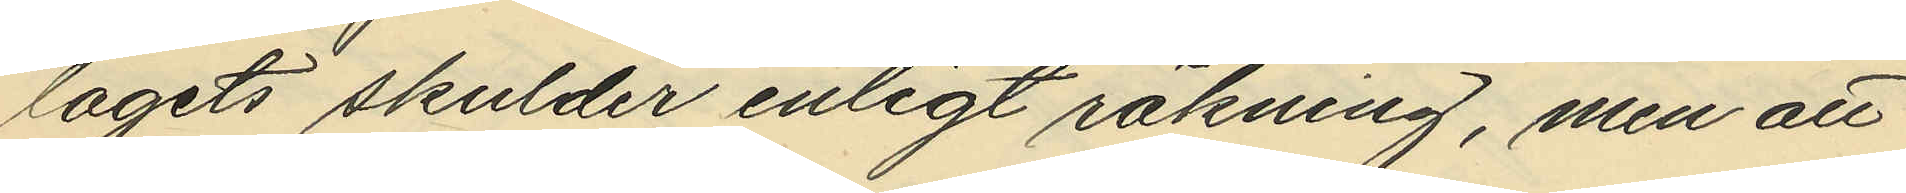lagets skulder enligt räkning, men att
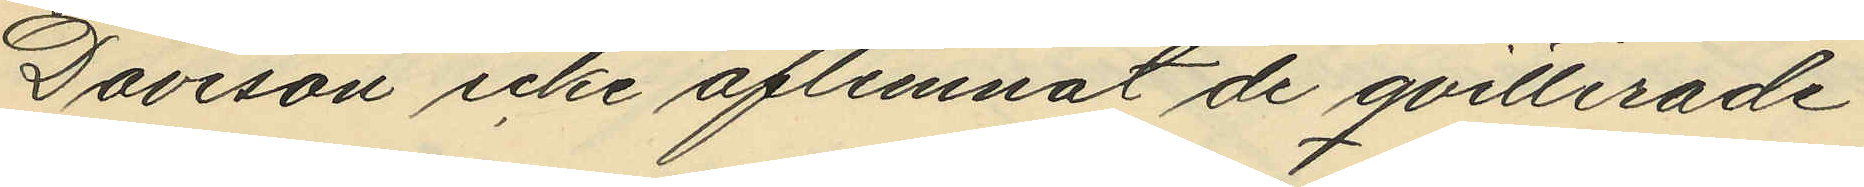Davison icke aflemnat de qvitterade
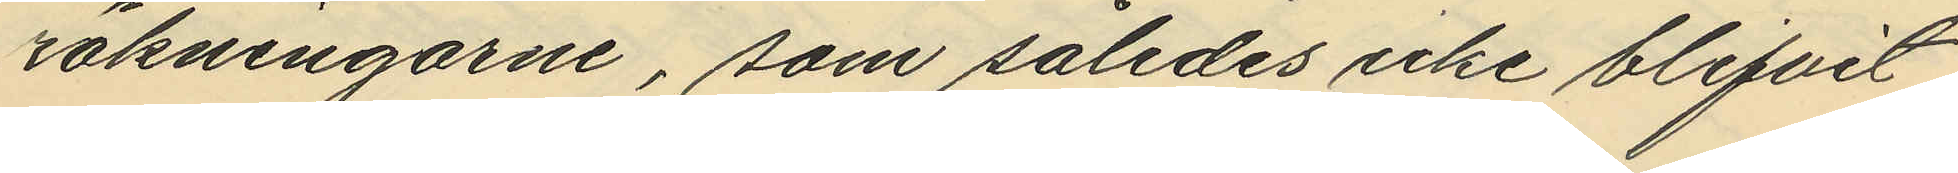räkningarne, som således icke blifvit
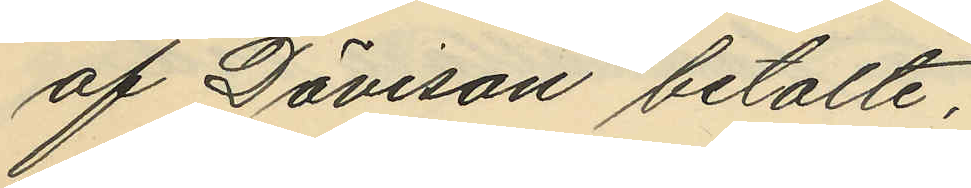af Davison betalte;
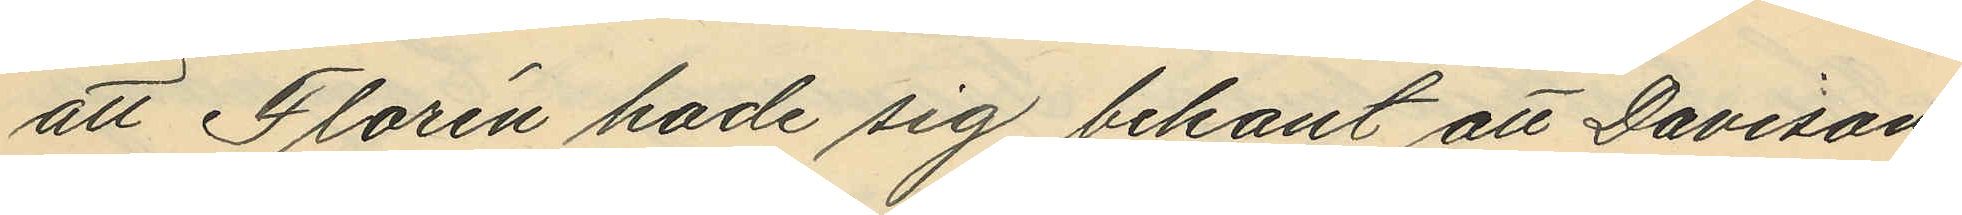att Florén hade sig bekant att Davison
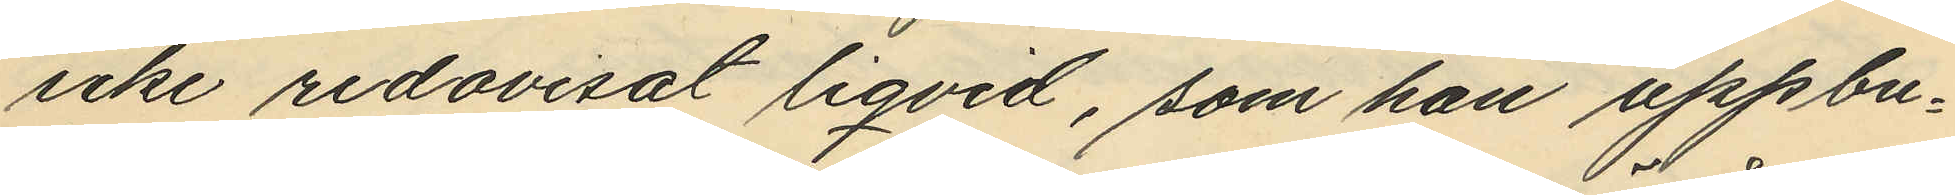icke redovisat liqvid, som han uppbu¬
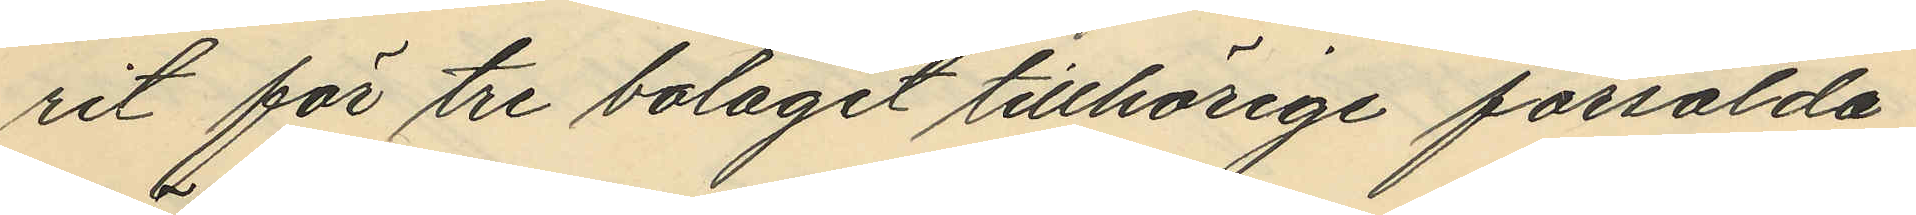rit för tre bolaget tillhörige försålda
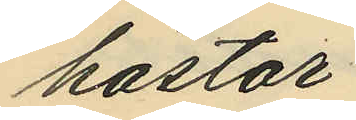hästar;
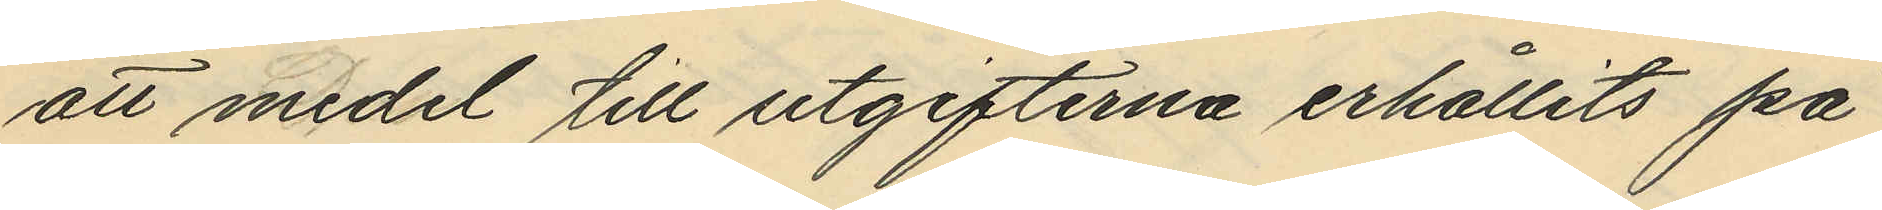att medel till utgifterna erhållits på
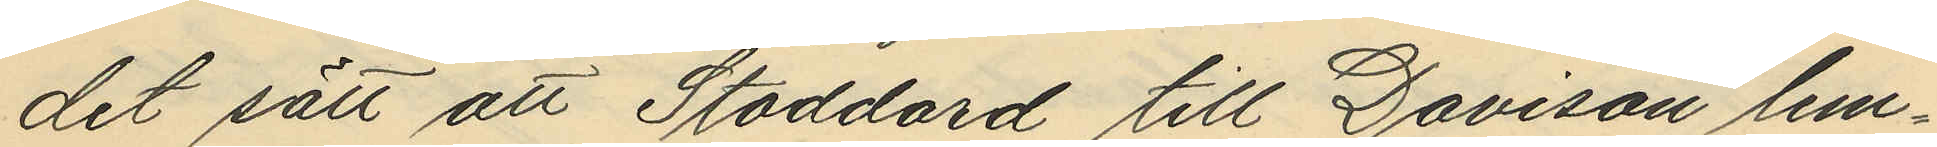det sätt att Stoddard till Davison lem¬
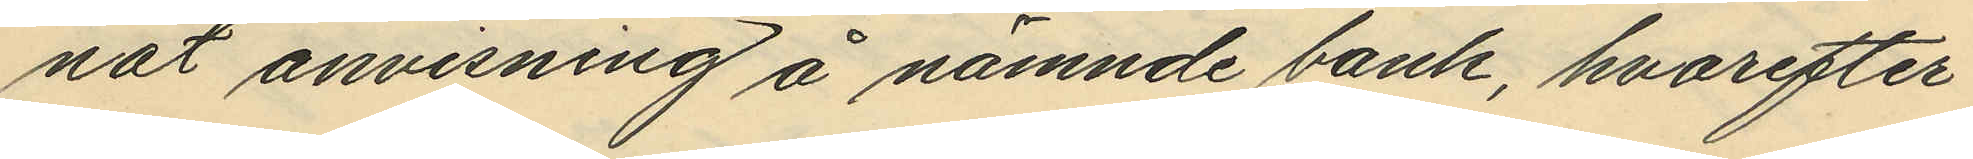nat anvisning å nämnde bank, hvarefter
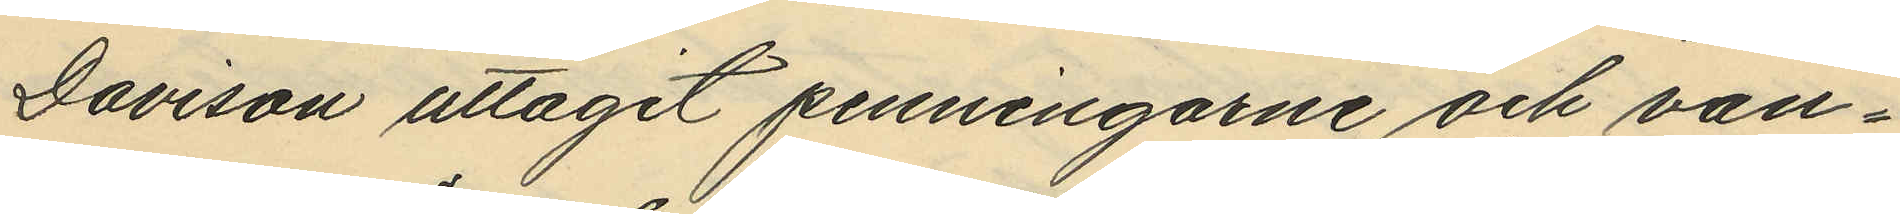Davison uttagit penningarne och van¬
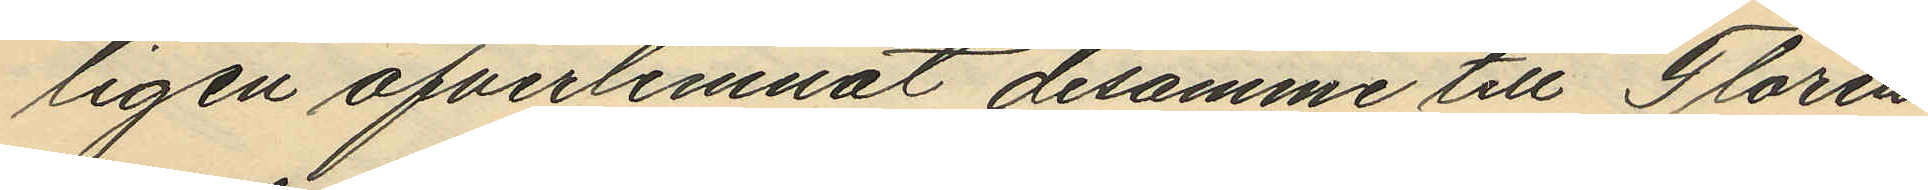ligen öfverlemnat desamme till Florén
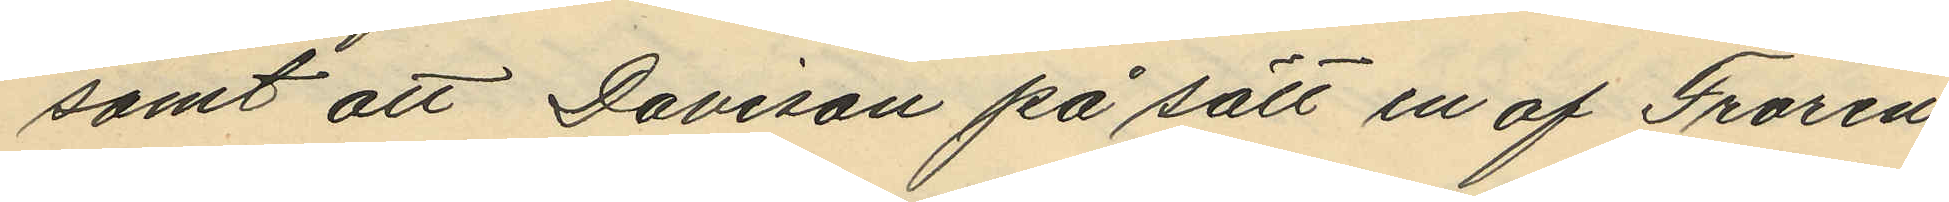samt att Davison på sätt en af Florén
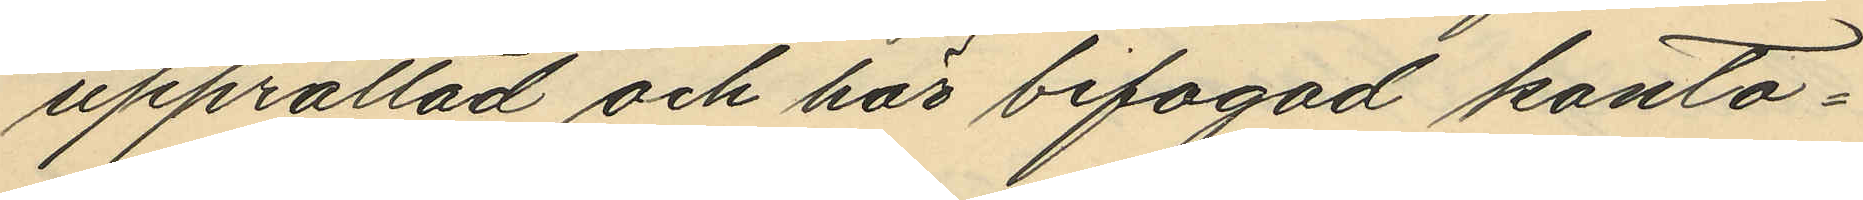upprättad och här bifogad konto¬
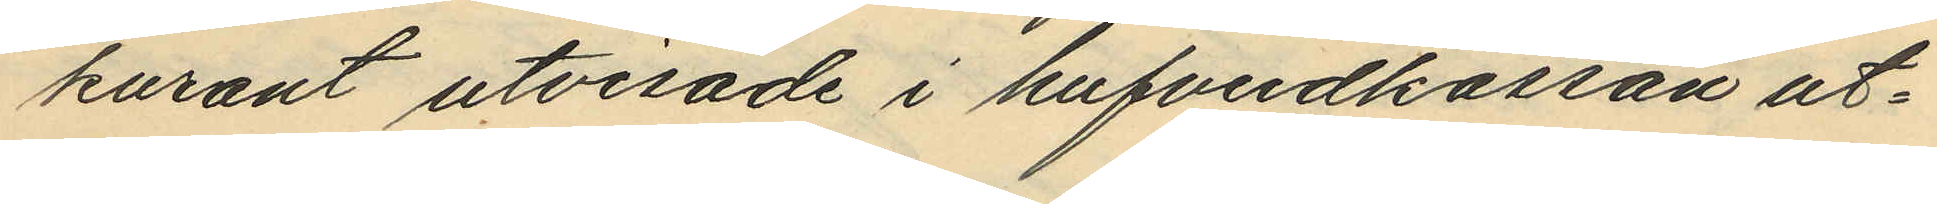kurant utvisade i hufvudkassan ut¬
